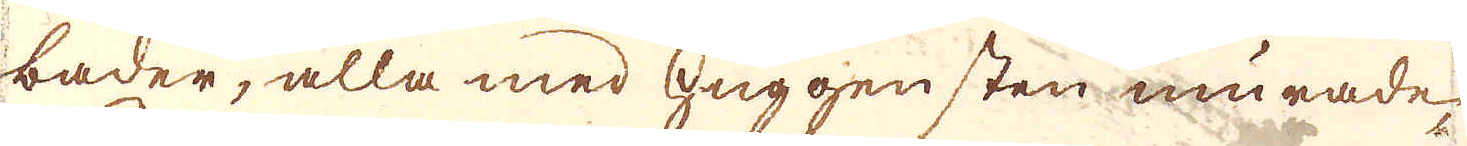bader, alla med huggen sten murade,
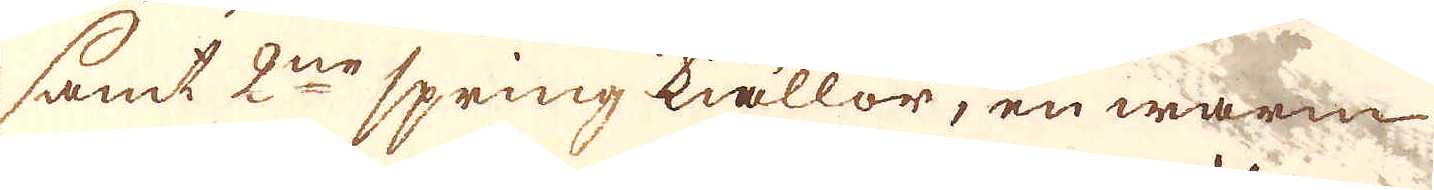samt 2:ne spring kiällor, en warm
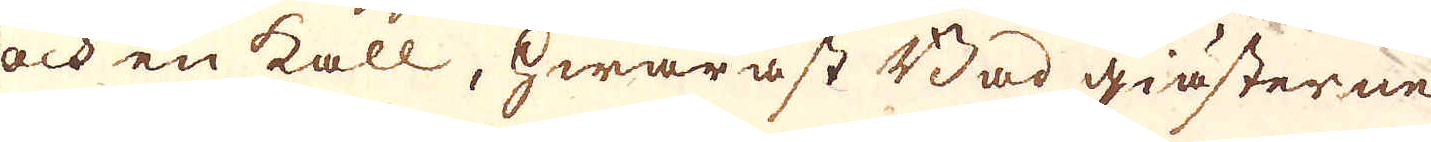och en kall, hwaräst Bad giästerne
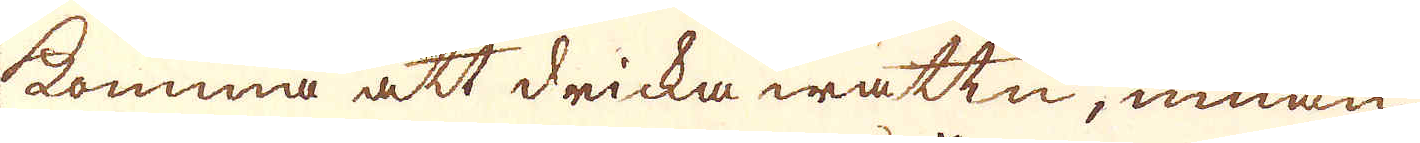komma att dricka wattn, innan
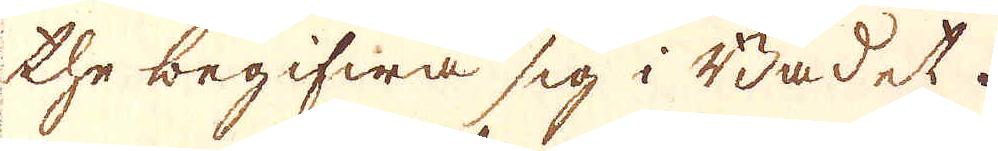the begifwa sig i Badet.
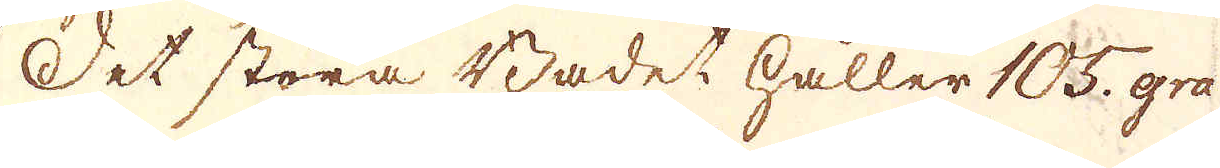Det stora Badet håller 105. gra-
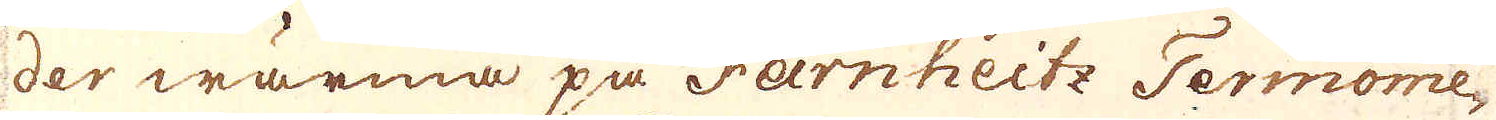der wärma på Farnheitz Termome-
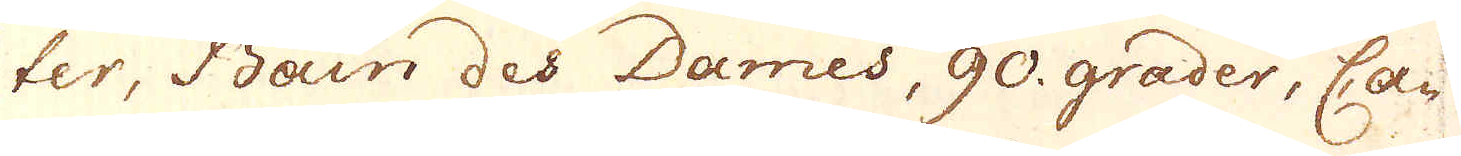ter, Bain des Dames, 90 grader, Ca-
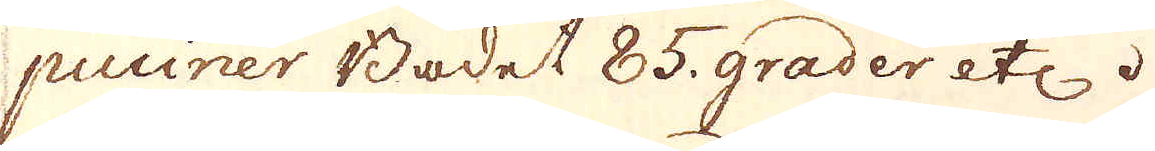puciner Badet 85 grader etc.
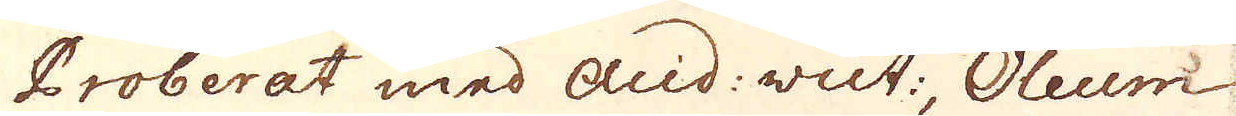Proberat med acid: vut:, Oleum
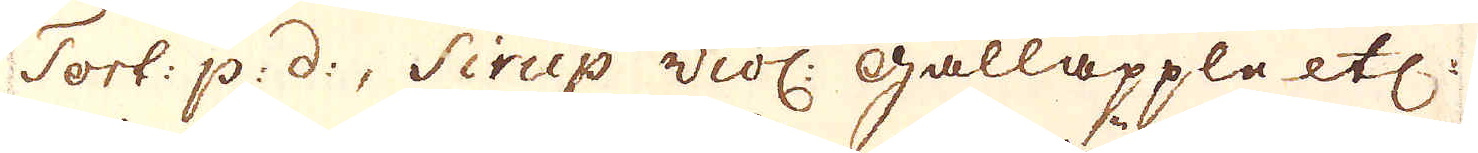Tort: p: d:, Sirup viol: galläpple etc:
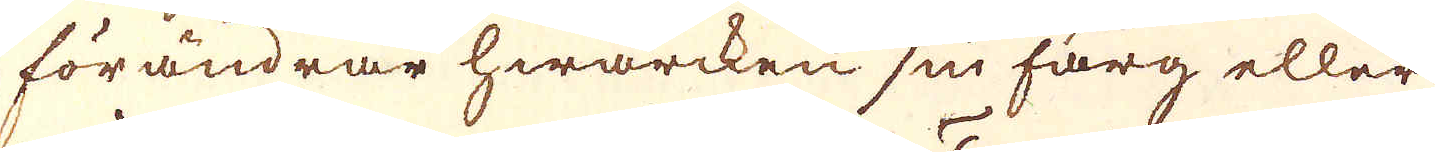förändrar hwarcken sin färg eller
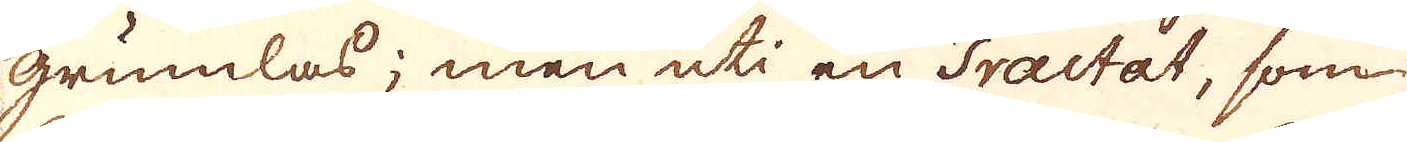grumlas; men uti en Tractat, som
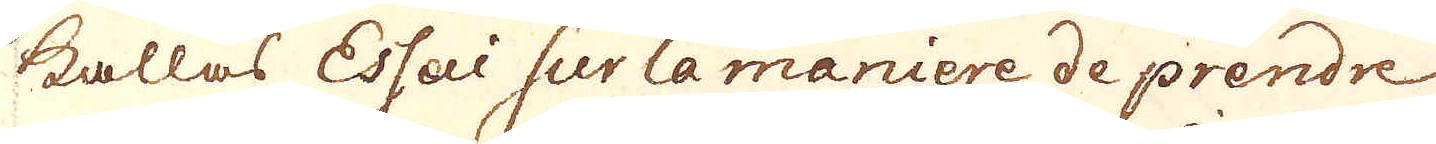kallas Essai sur la maniere de prendre
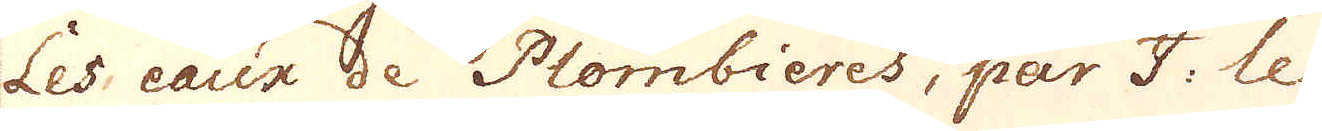les eaux de Plombieres, par I. le
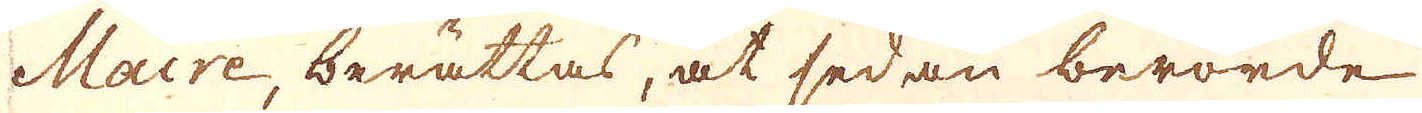Maire, berättas, at sedan berörde
